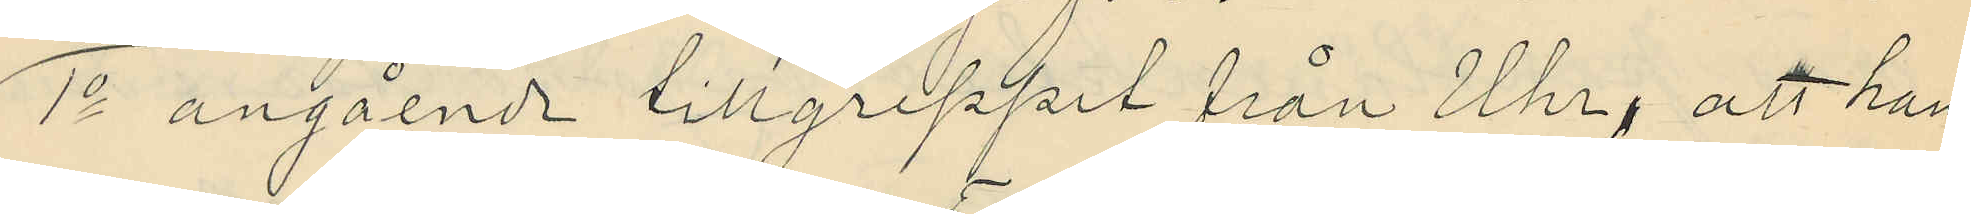1o angående tillgreppet från Uhr, att han
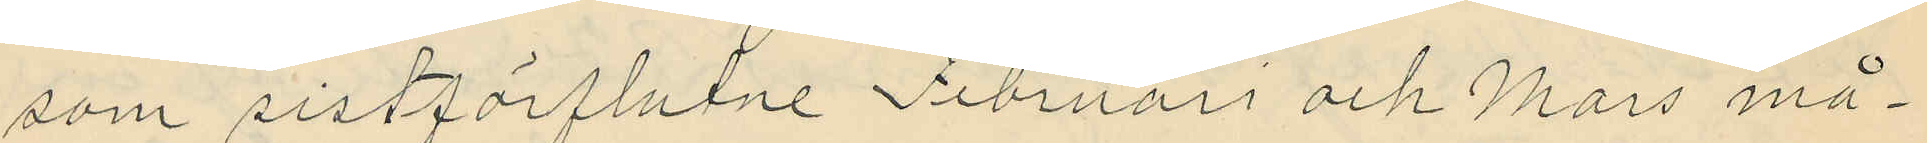som sistförflutne Februari och Mars må¬
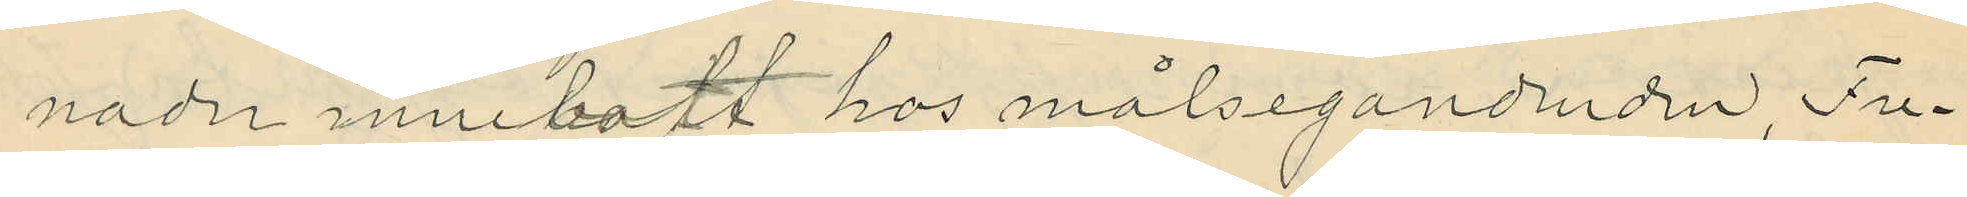nader innebott hos målsegandenden, Fre¬
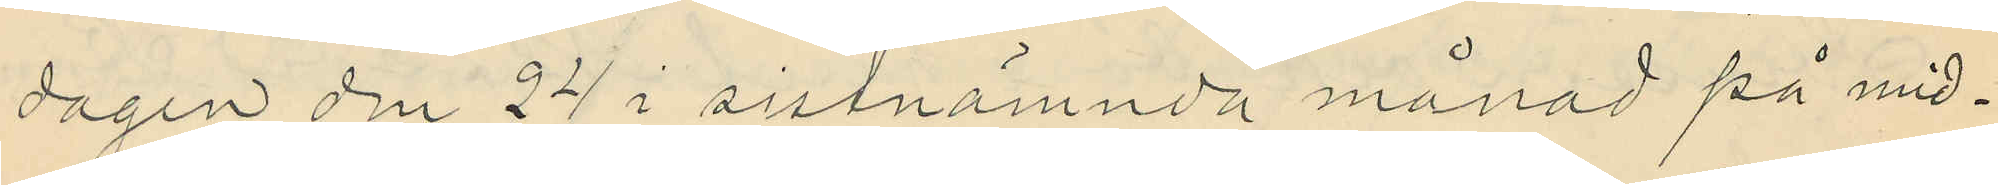dagen den 24 i sistnämnda månad på mid¬
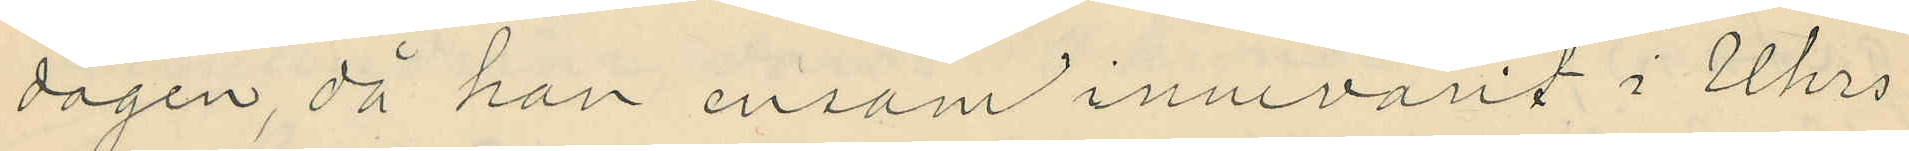dagen, då han ensam innevarit i Uhrs
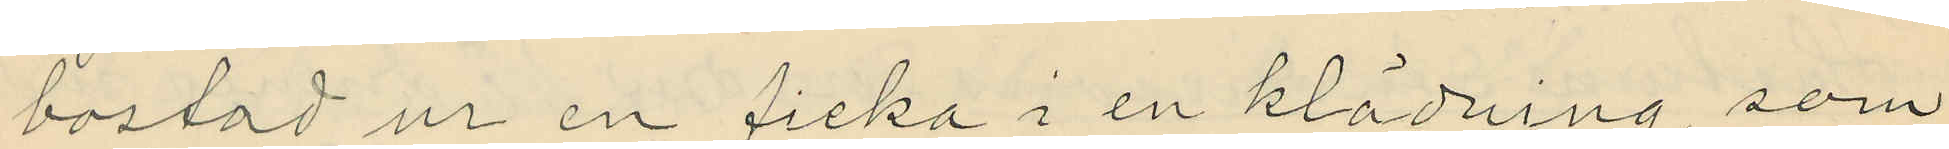bostad ur en ficka i en klädning, som
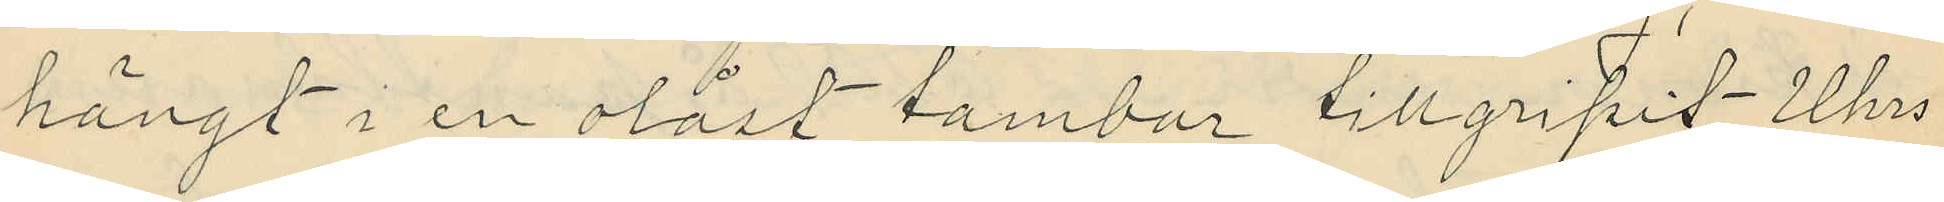hängt i en olåst tambur tillgripit Uhrs
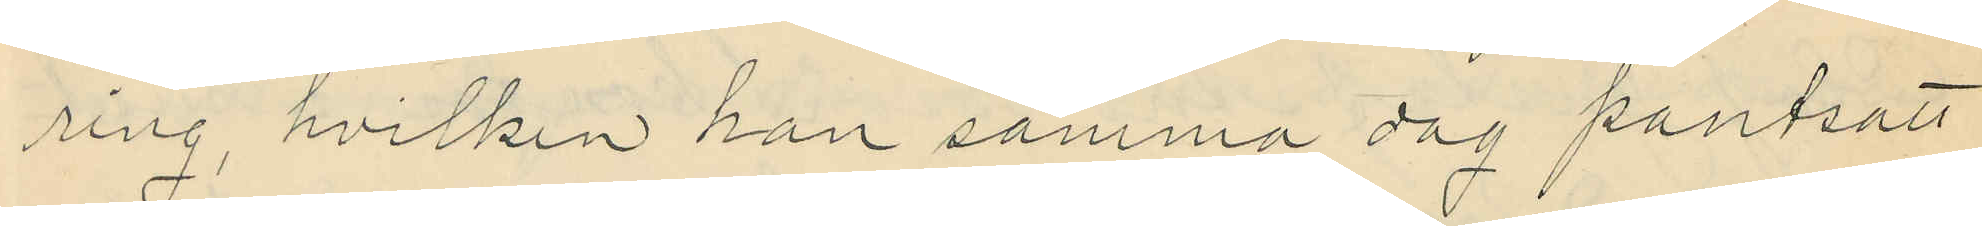ring, hvilken han samma dag pantsatt
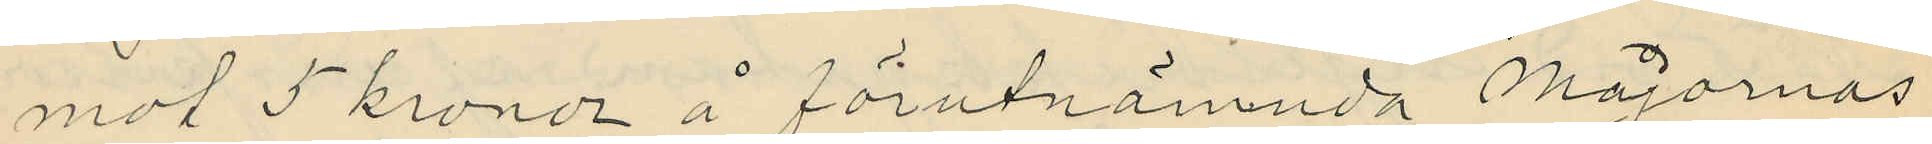mot 5 kronor å förutnämnda Majornas
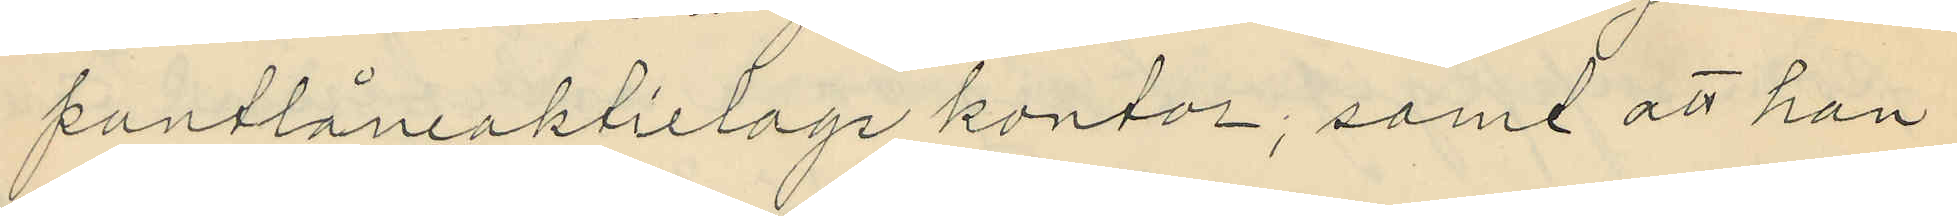pantlåneaktielags kontor; samt att han
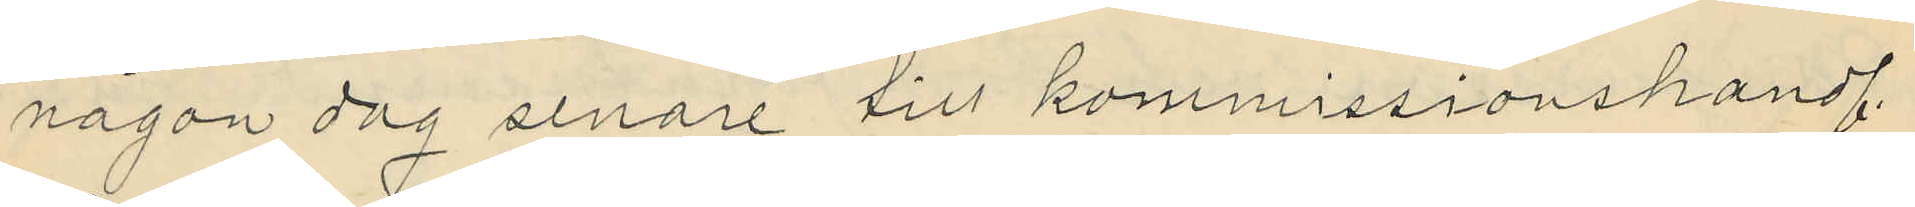någon dag senare till kommissionshandl.
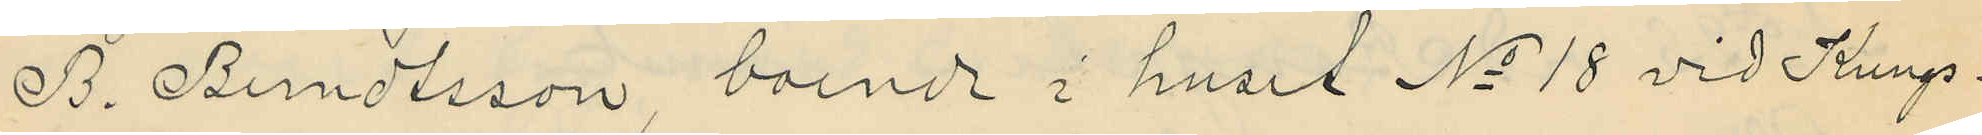B. Berndtsson, boende i huset No 18 vid Kungs¬
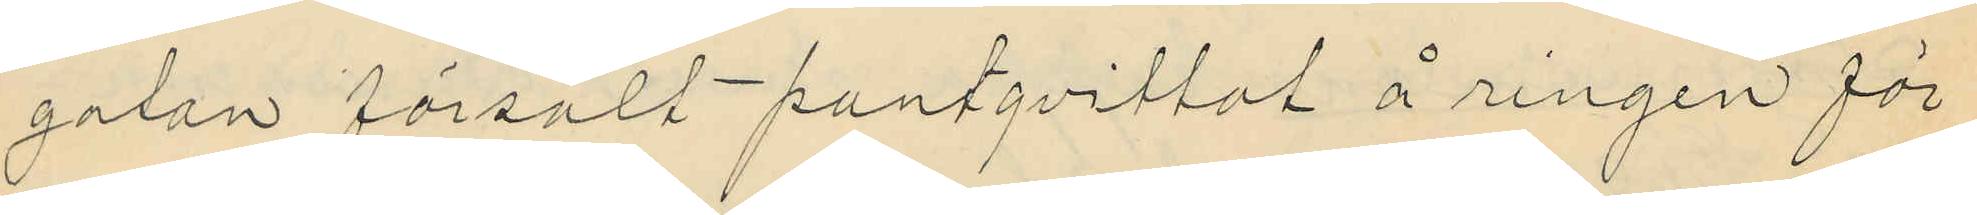gatan försålt pantqvittot å ringen för
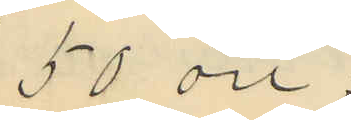50 öre;
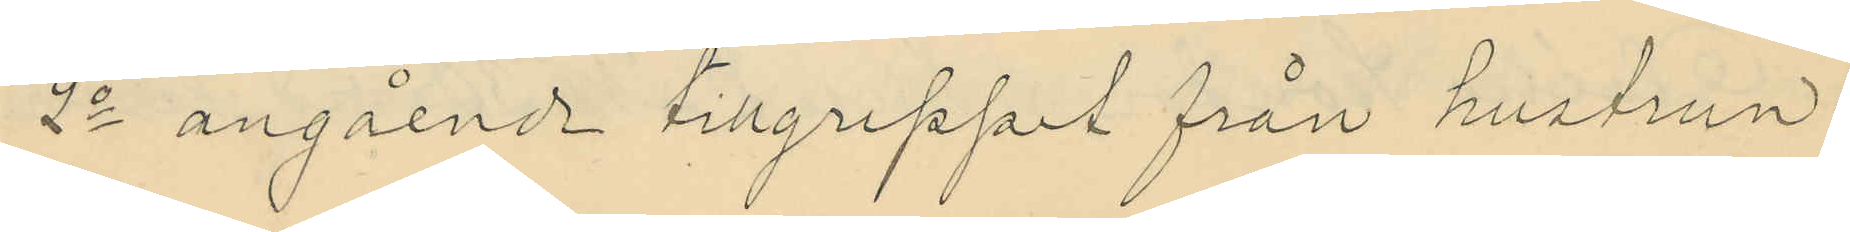2o angående tillgreppet från hustrun
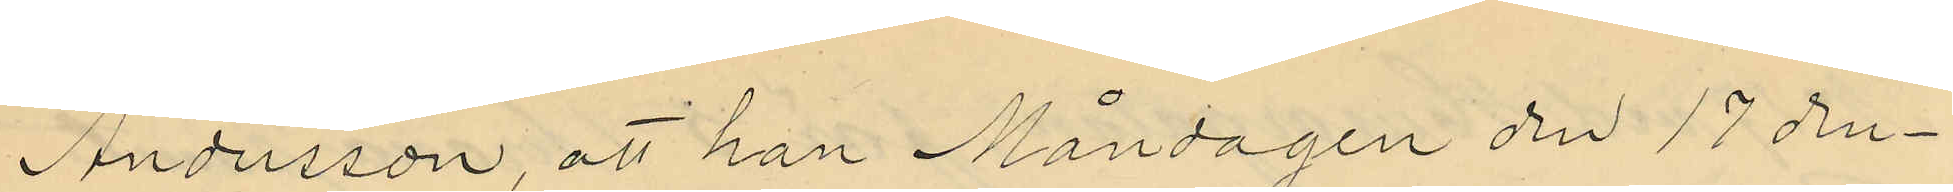Andersson, att han Måndagen den 17 den¬
